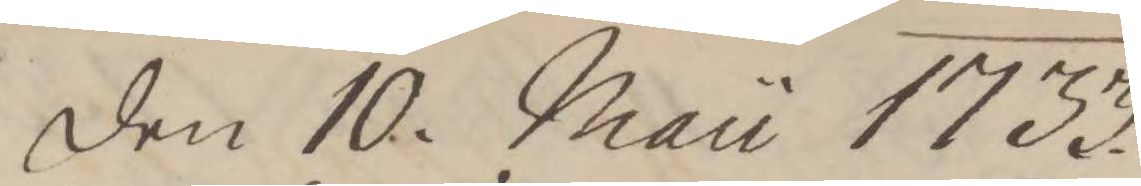den 10. Mau 1733.
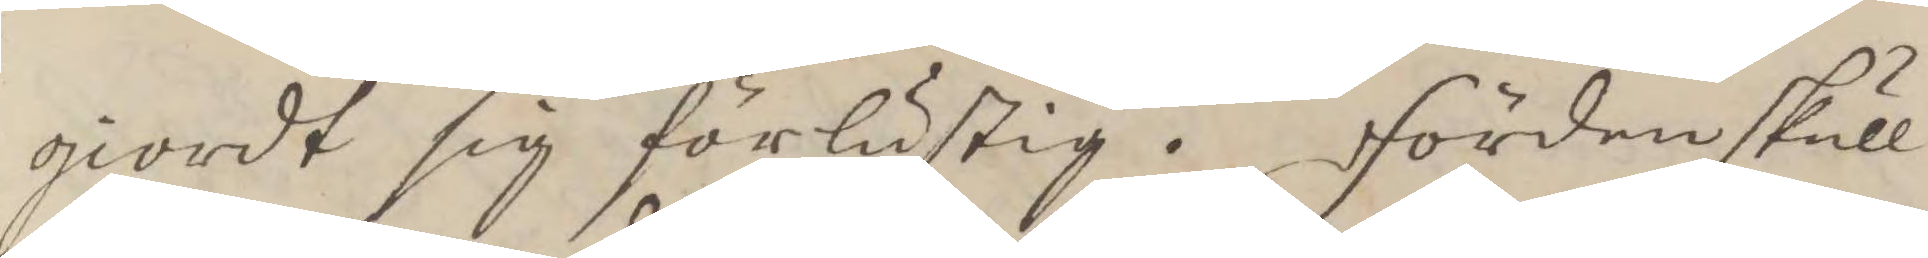giordt sig förlustig, Fördenskull
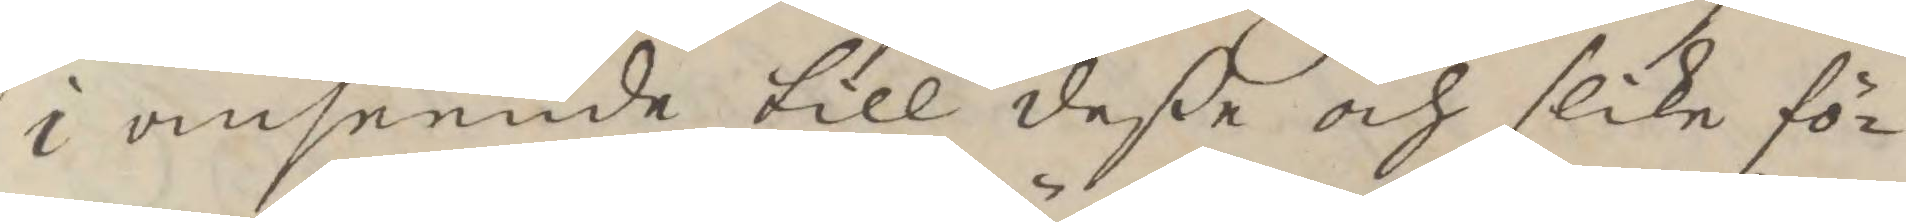i anseende till deße och slika fö¬
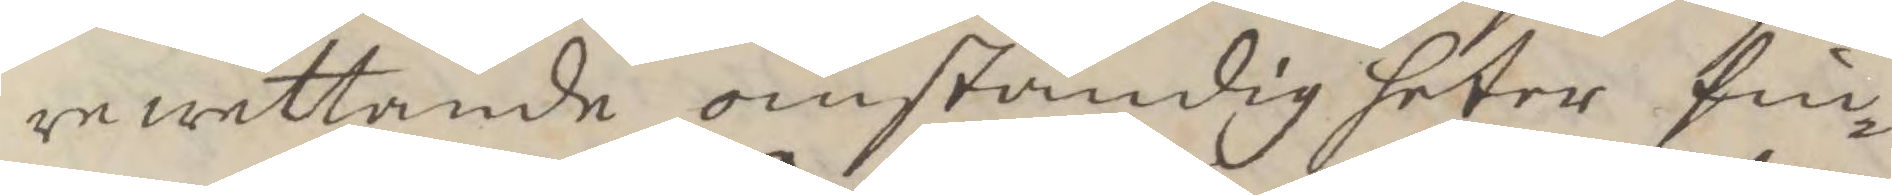rewettande omständigheter fin¬
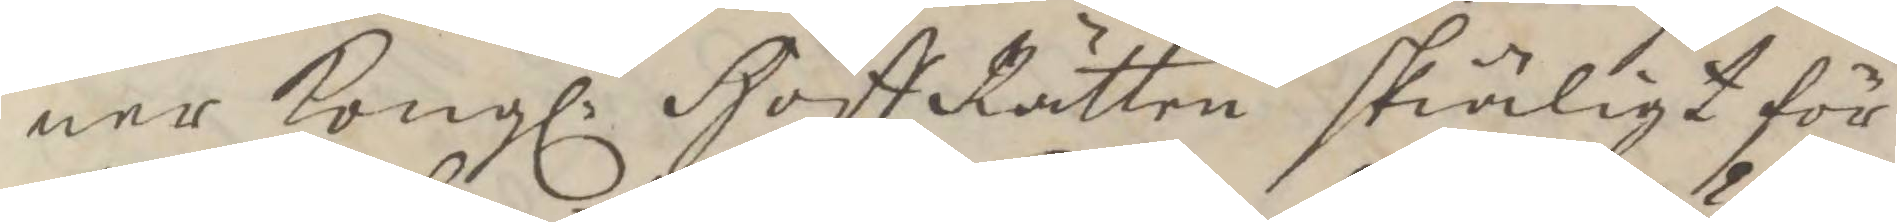ner Kongl. HoffRätten skäligt för
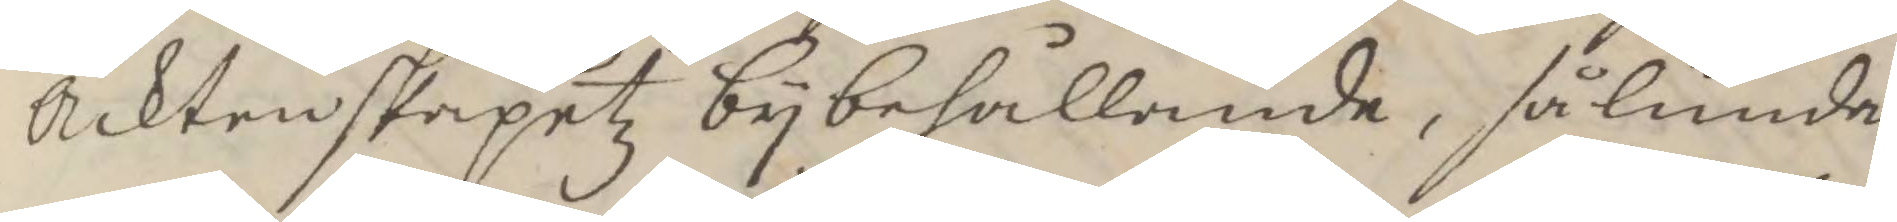Äcktenskapetz bybehållande, sålunda
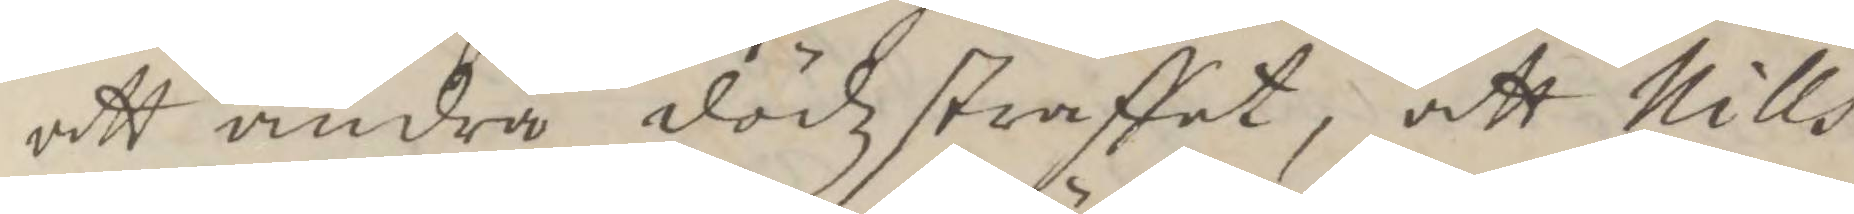att ändra dödzstraffet, att Nills
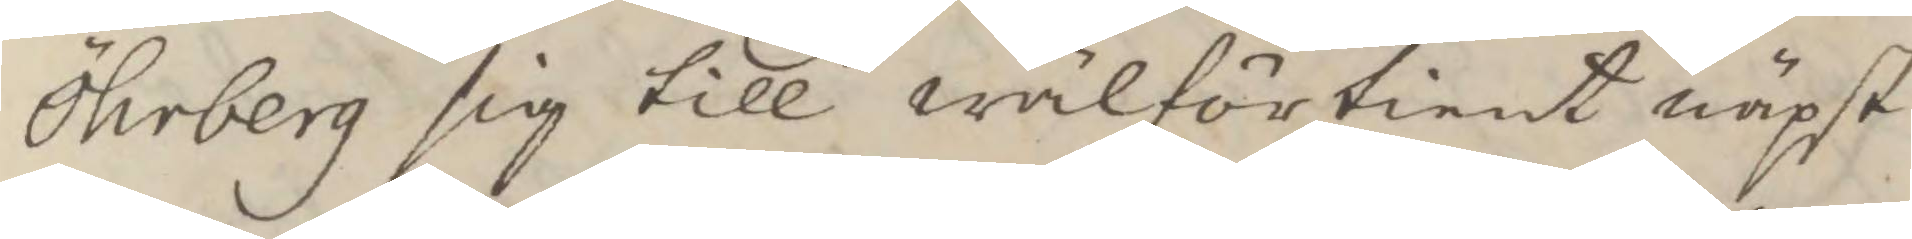Öhrberg sig till wälförtient näpst
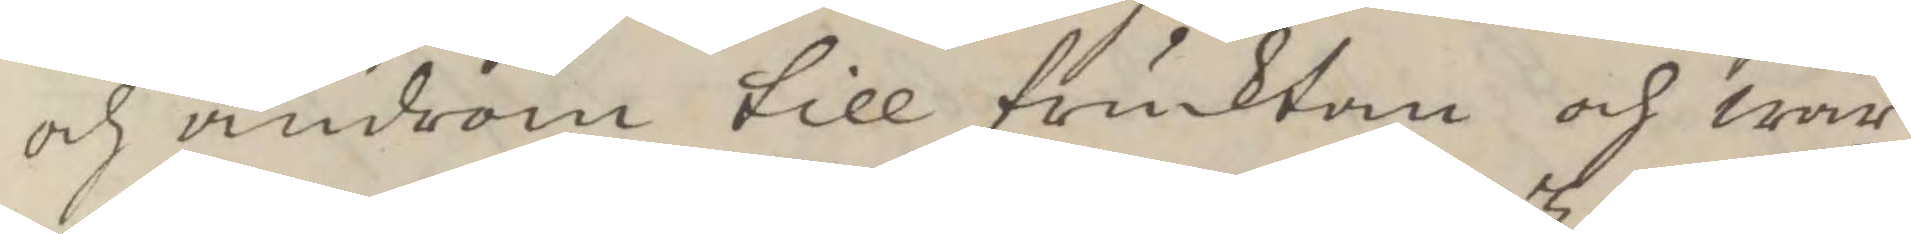och androm till frucktan och war¬
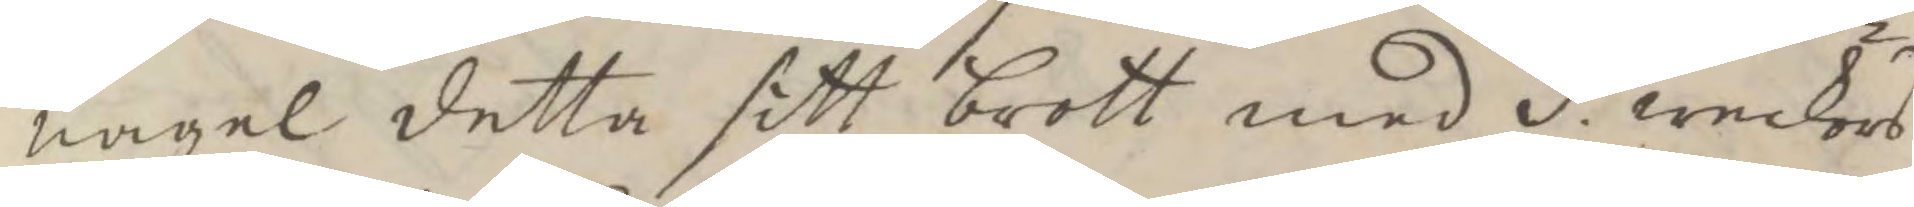nagel detta sitt brott med 3. weckors
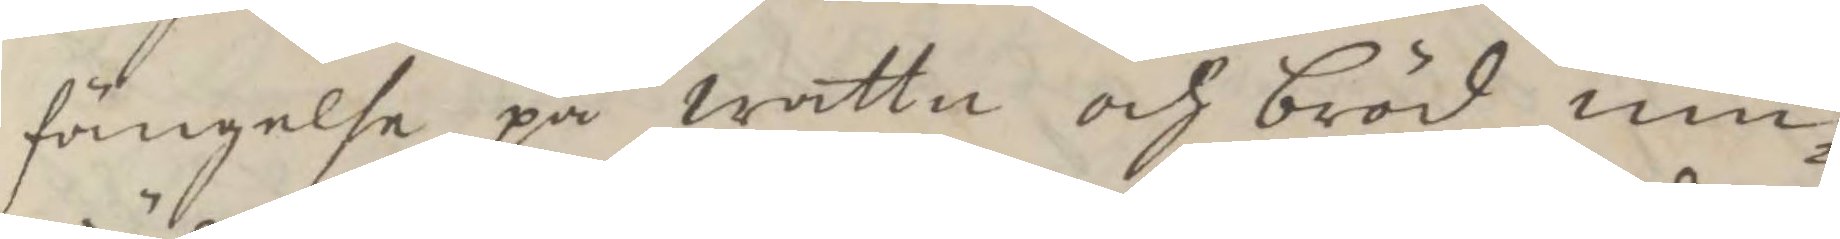fängelse på wattn och bröd um¬
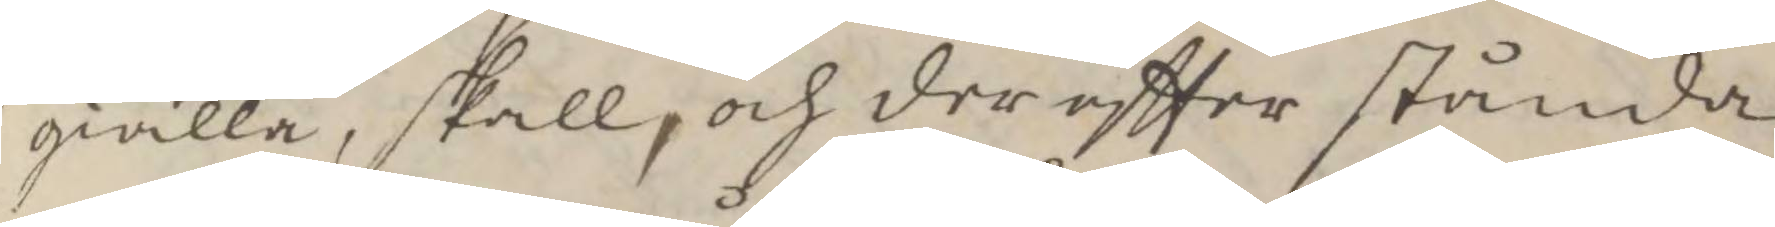giälla, slaöö och derdftter stående
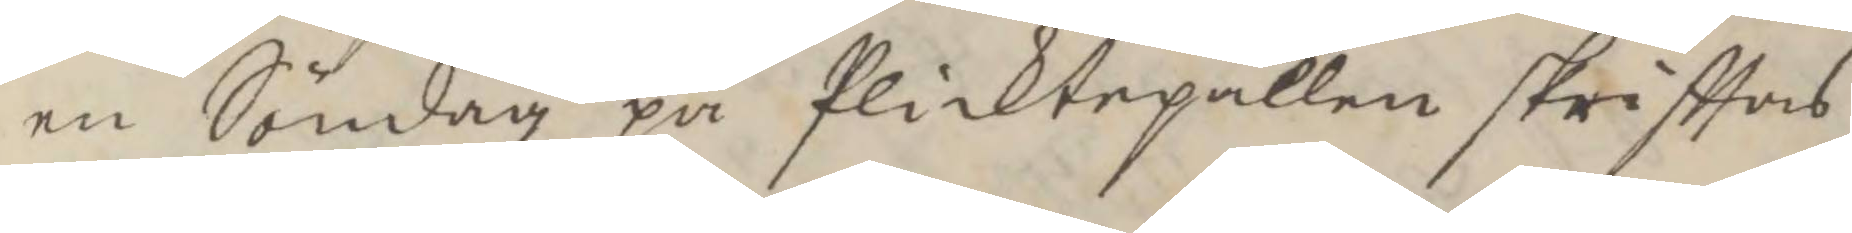en Söndag på plickpallen skrifttas
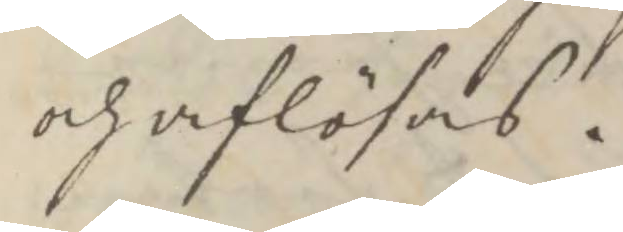och aflösas.
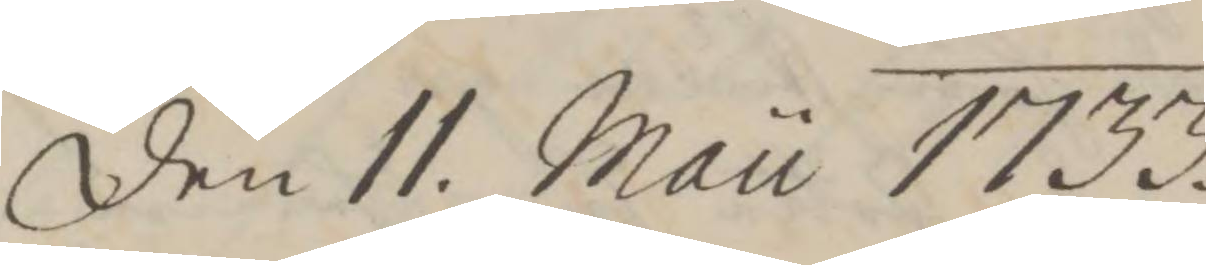den 11. Mau 1733.
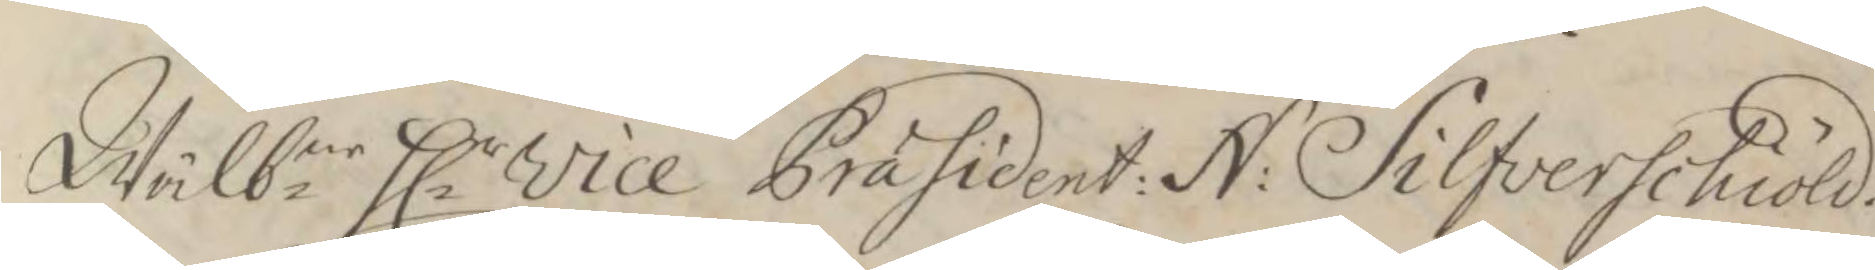Wälb.ne Hlr vice Præsident: N: Solfverschiöld.
